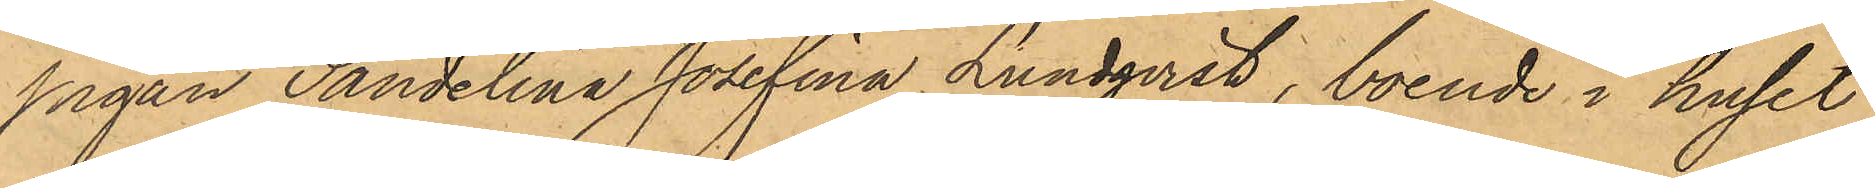pigan Sandelina Josefina Lundqvist, boende i huset
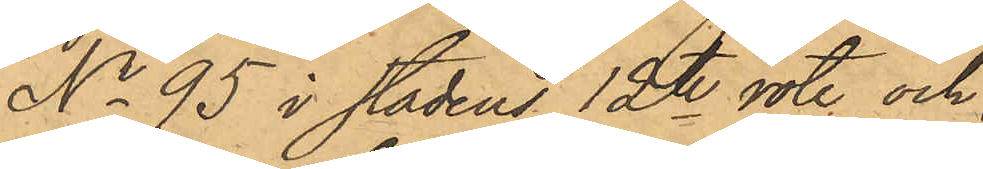No 95 i stadens 12te rote och
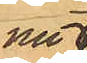nu
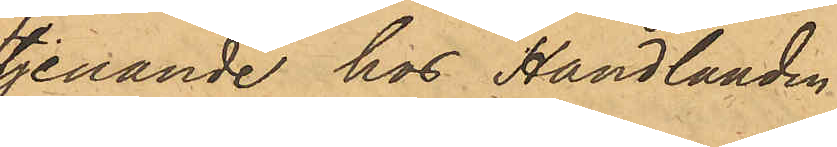tjenande hos Handlanden
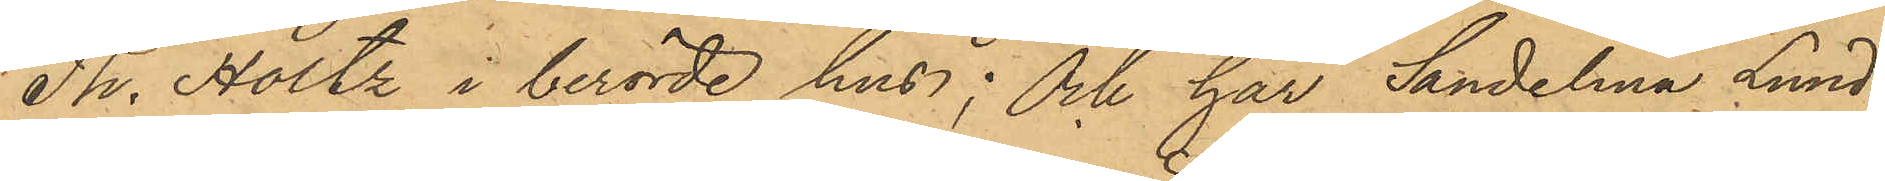Th. Holtz i berörde hus; och har Sandelina Lund¬
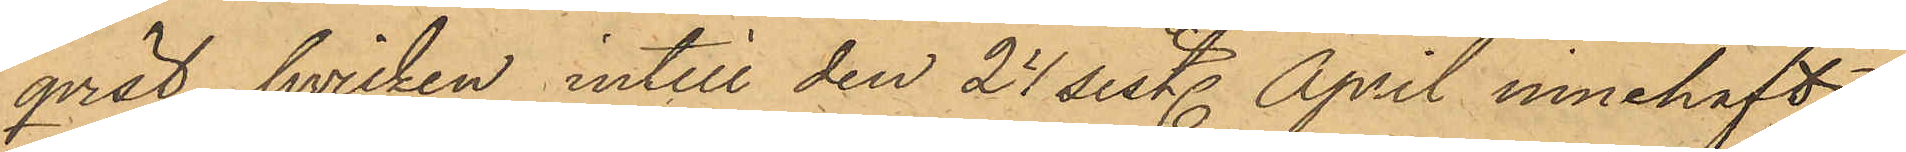qvist, hvilken intill den 27 sist. April innehaft
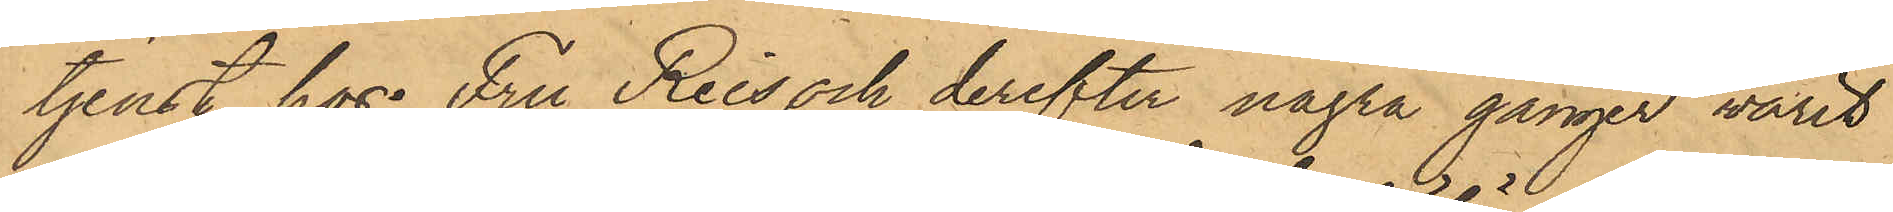tjenst hos Fru Reis och derefter några gånger varit
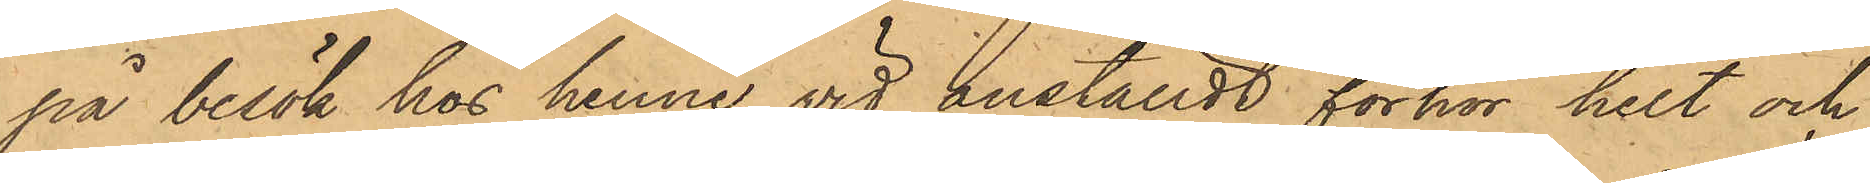på besök hos henne, vid anställdt förhör helt och
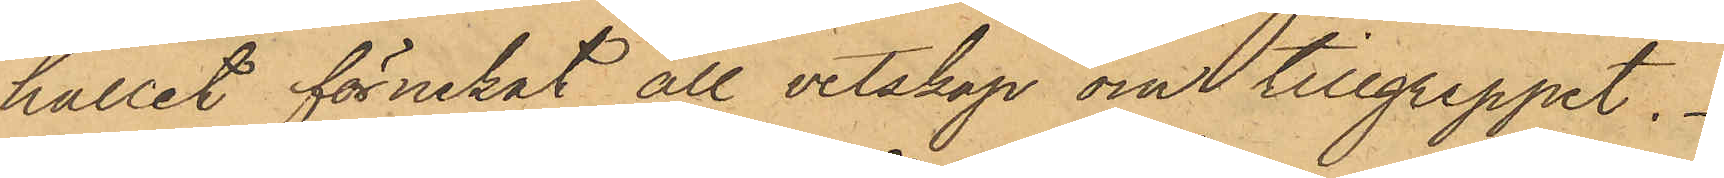hållit förnekat all vetskap om tillgreppet.
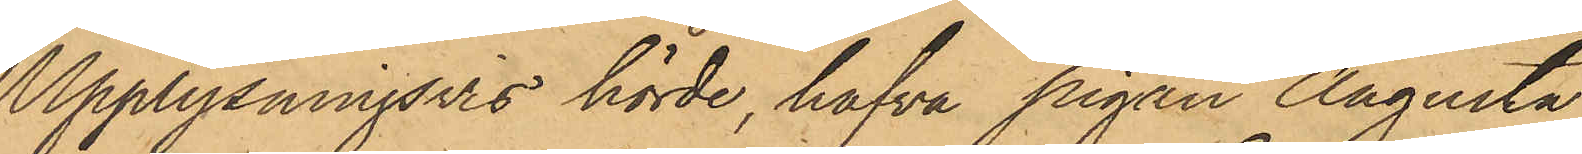Upplysningsvis hörde, hafva pigan Augusta
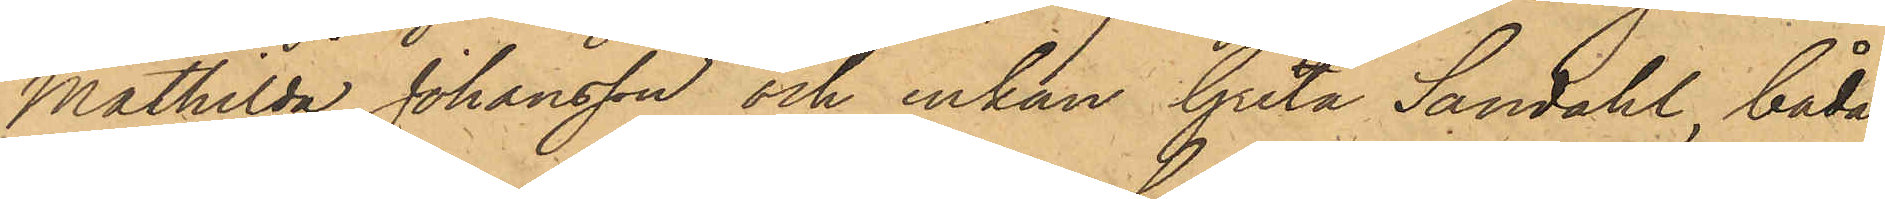Mathilda Johansson och enkan Greta Sandahl, båda
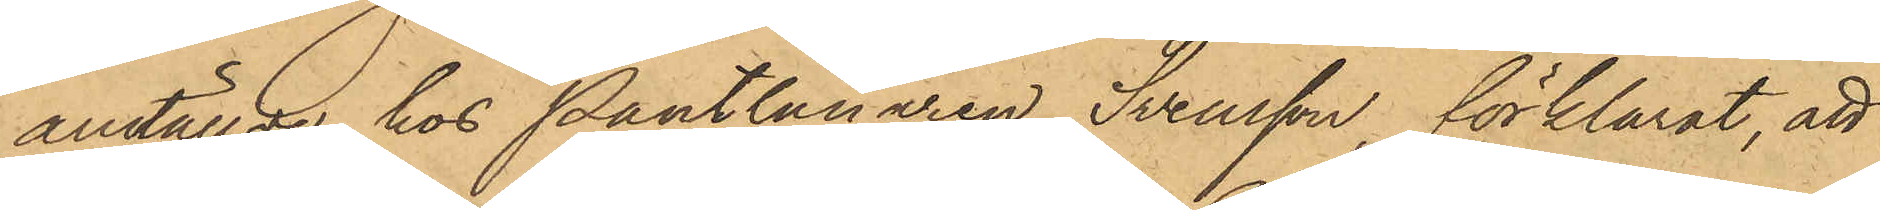anställde hos Pantlånaren Svensson, förklarat, att
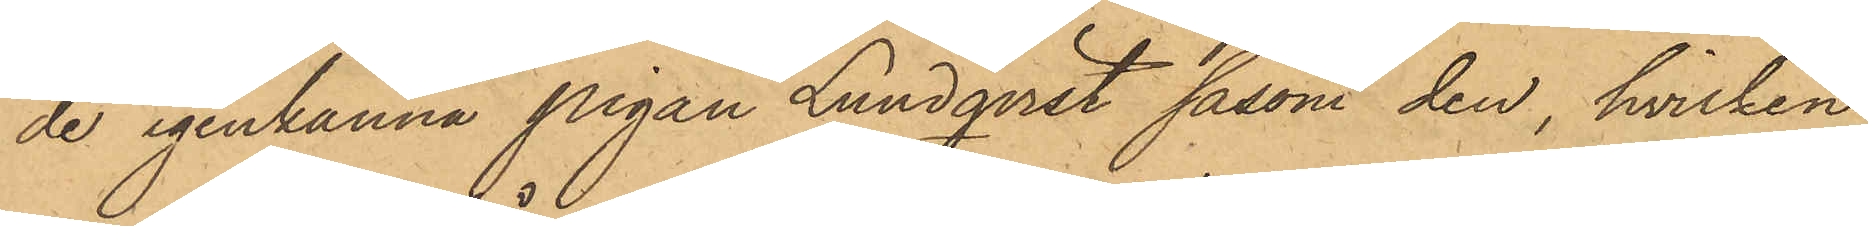de igenkänna pigan Lundqvist såsom den, hvilken
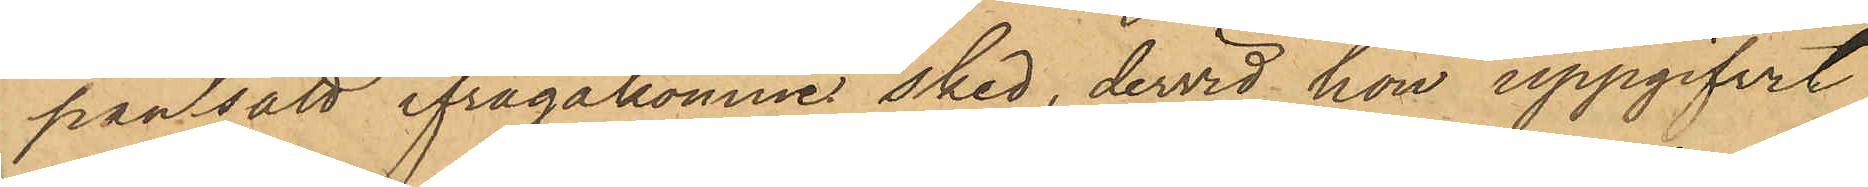pantsatt ifrågakomne sked, dervid hon uppgifvit
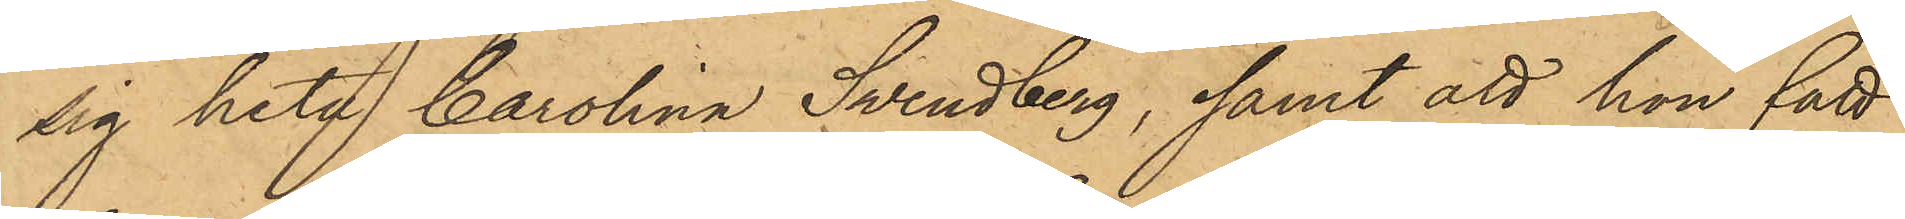sig heta Carolina Swendberg, samt att hon fått
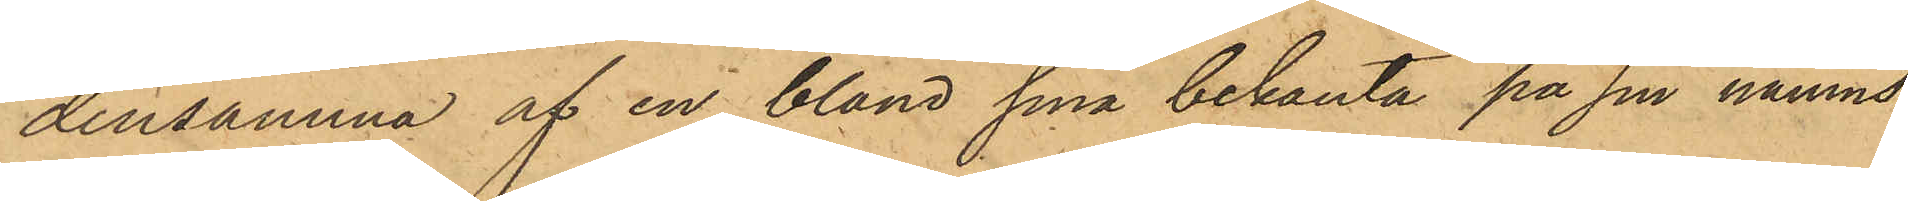densamma af en bland sina bekanta på sin namns¬
